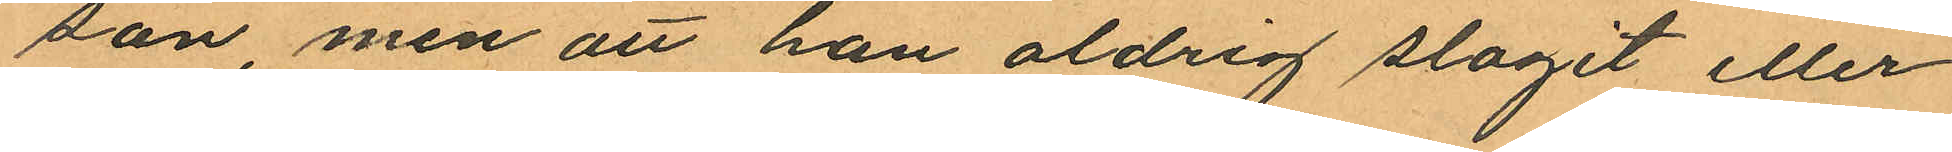son, men att han aldrig slagit eller
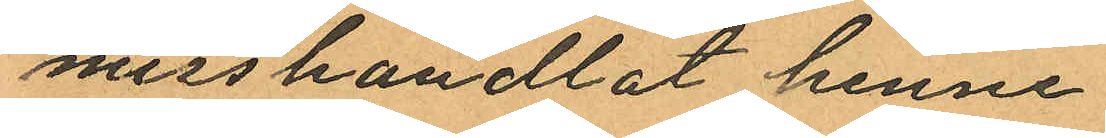misshandlat henne.
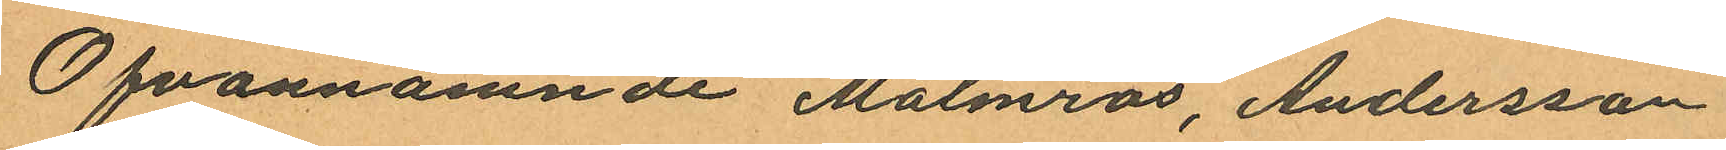Ofvannämnde Malmros, Andersson
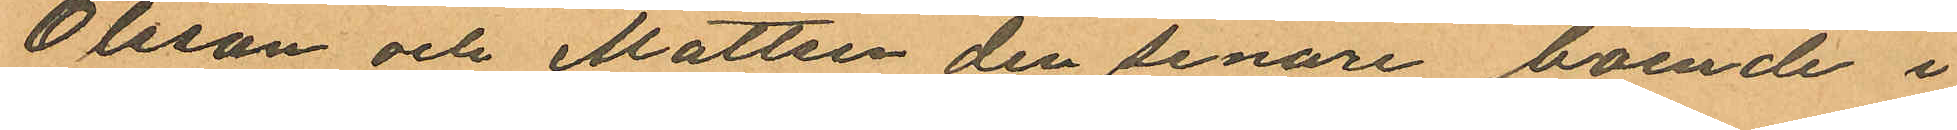Olsson och Mattsen den senare boende i
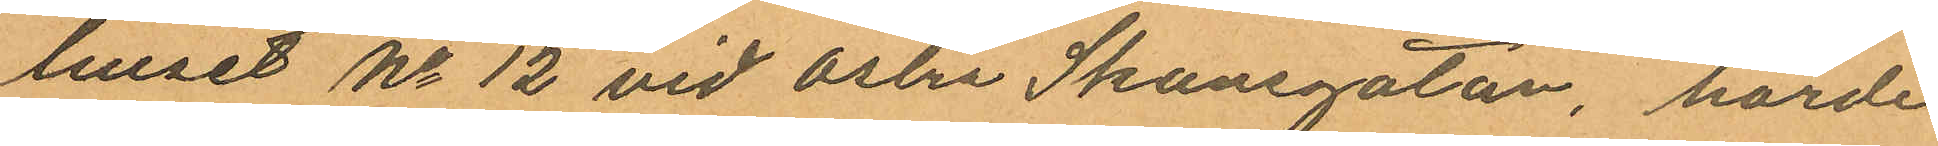huset No 12 vid Östra Skansgatan, hörde
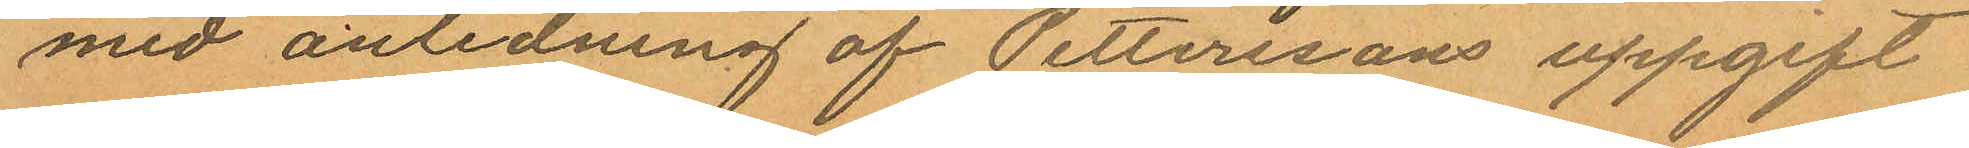med anledning af Petterssons uppgift
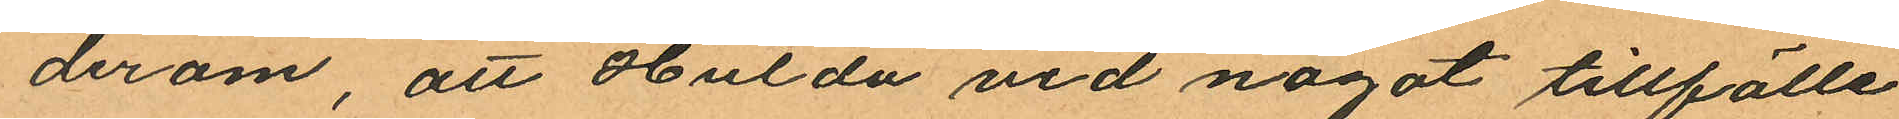derom, att Hulda vid något tillfälle
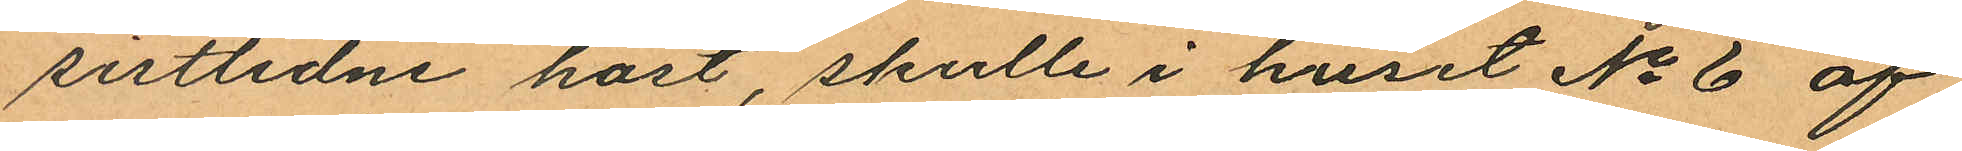sistlidne höst, skulle i huset No 6 af
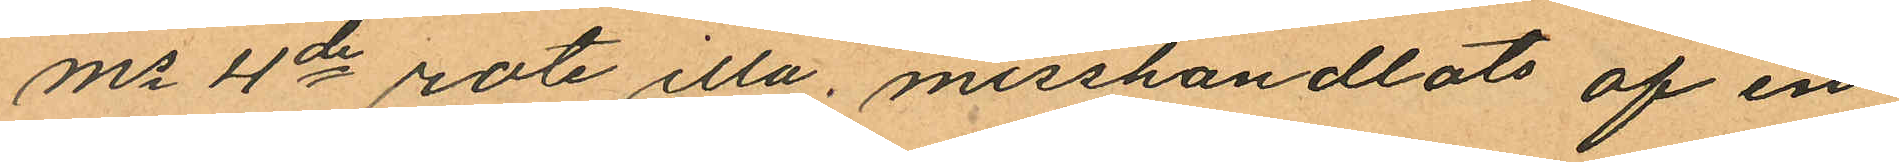Ms 4de rote illa, misshandlats af en
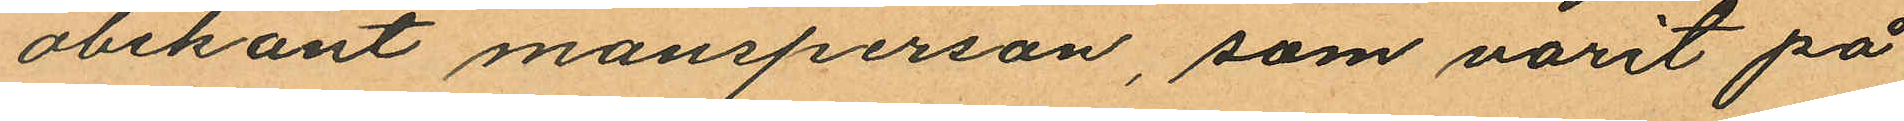obekant mansperson, som varit på
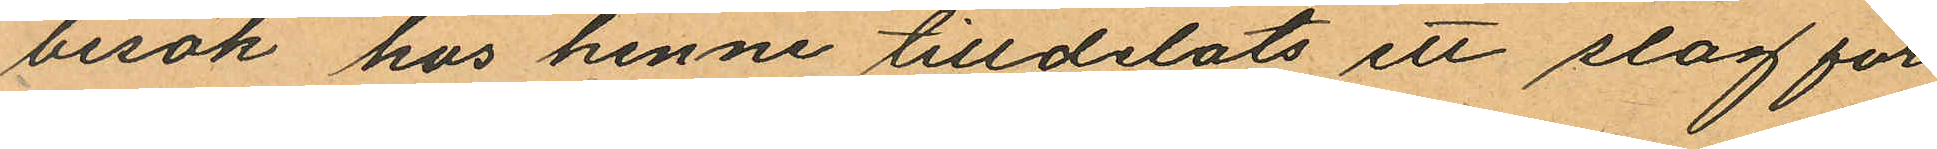besök hos henne tilldelats ett slag för
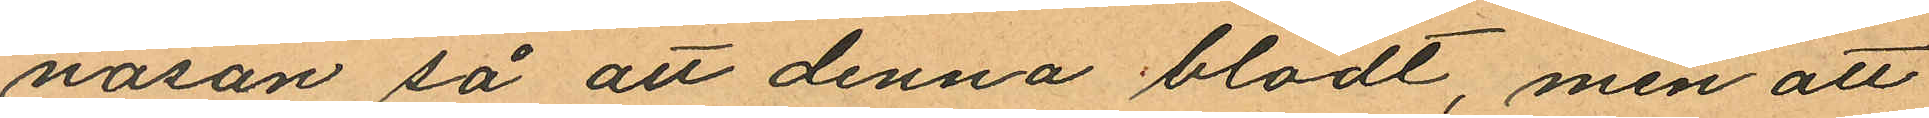näsan så att denna blödt, men att
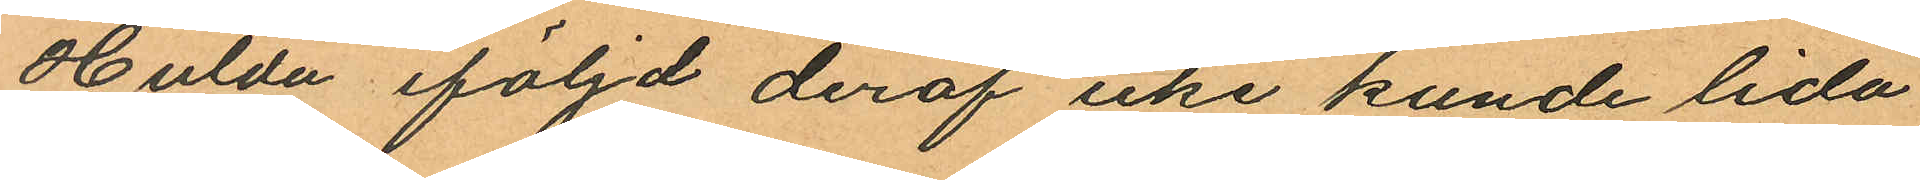Hulda iföljd deraf icke kunde lida
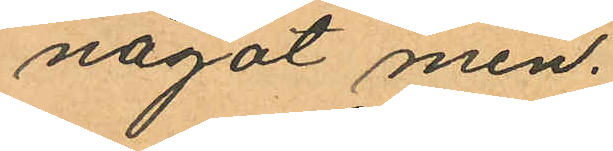något men.
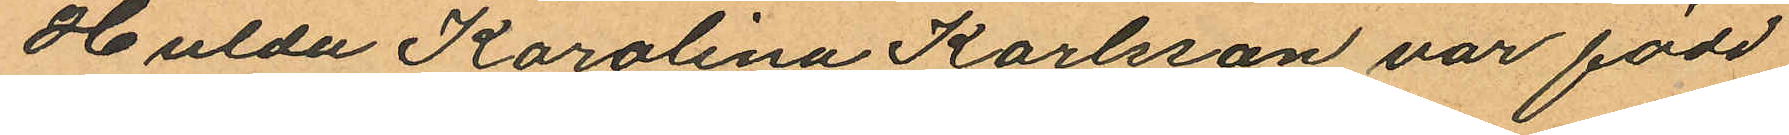Hulda Karolina Karlsson var född
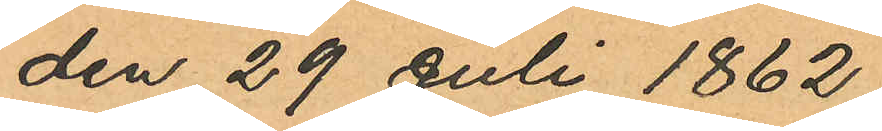den 29 Juli 1862
